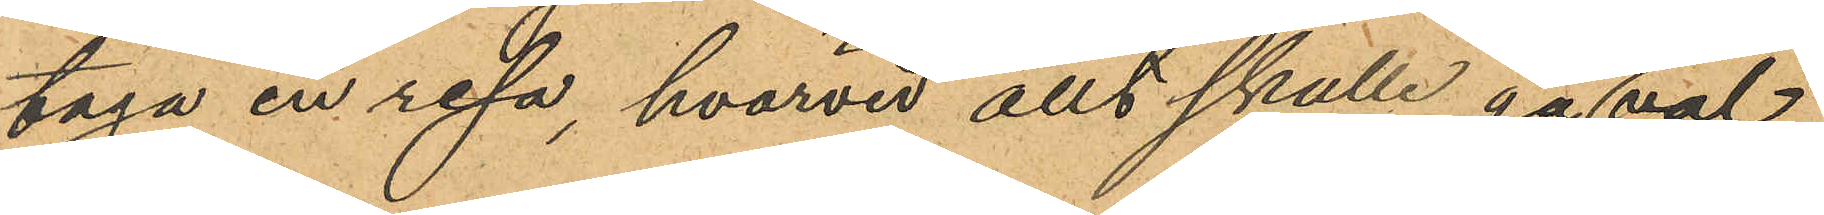taga en resa, hvarvid allt skulle gå dem väl;
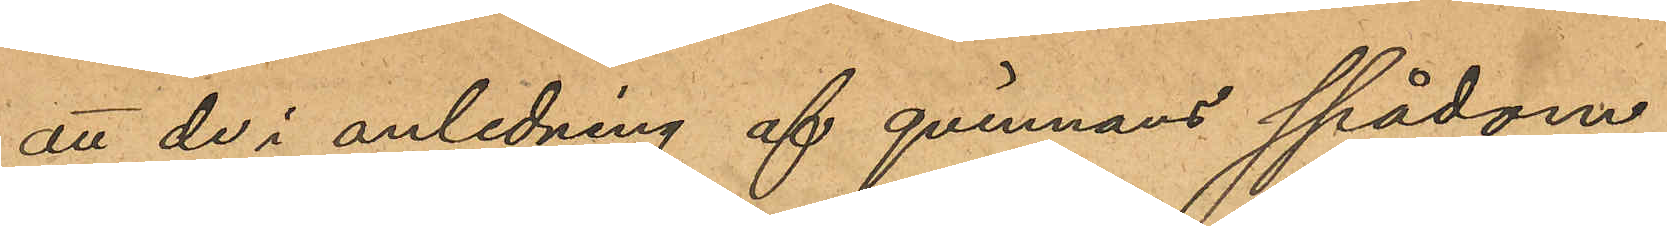att de i anledning af qvinnans spådom
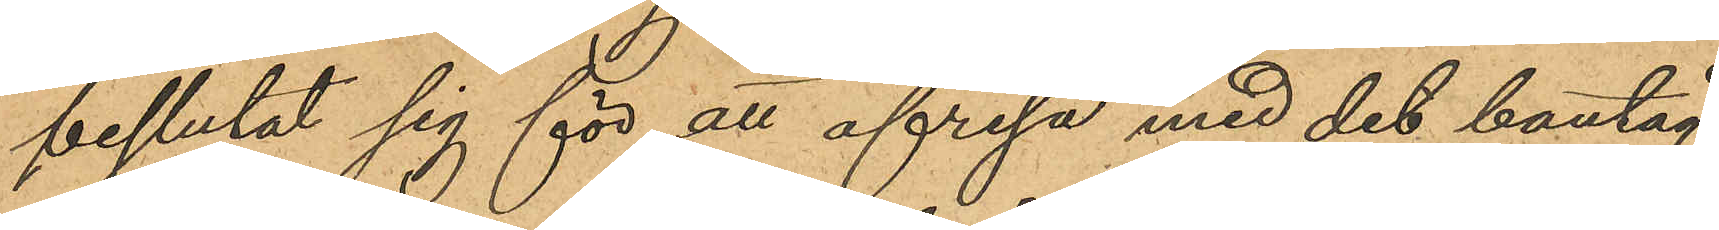beslutat sig för att afresa med det bantåg
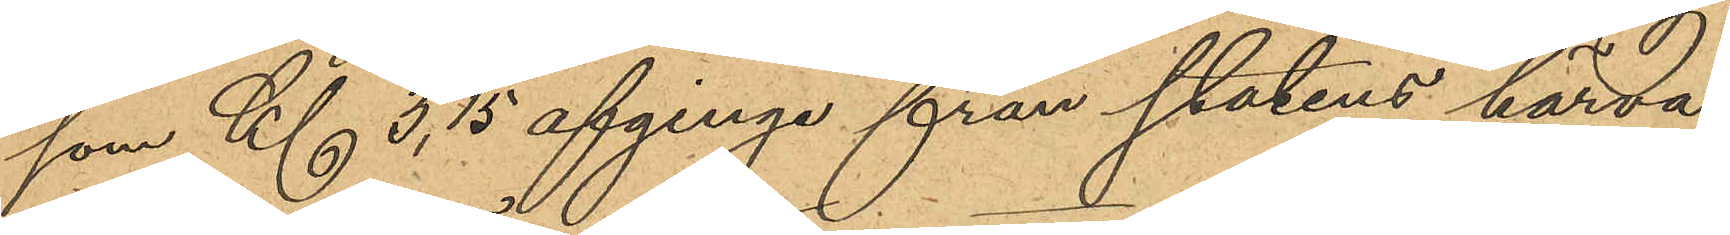som Kl 3, 15 afginge från stadens härva¬
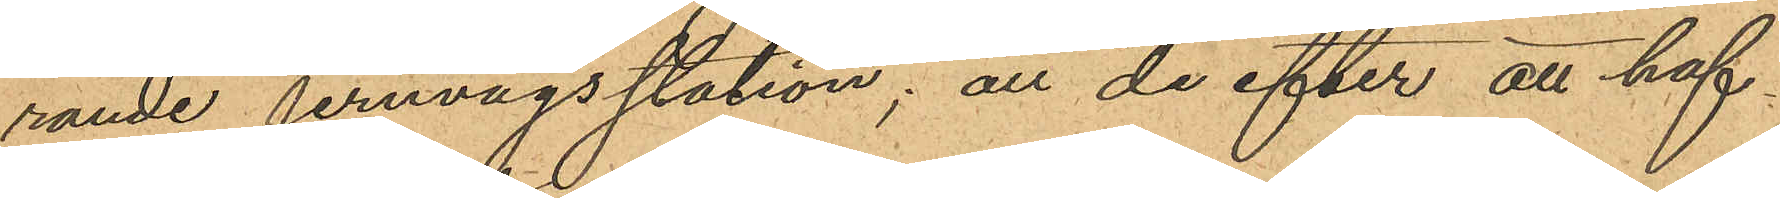rande jernvägsstation; att de efter att haf¬
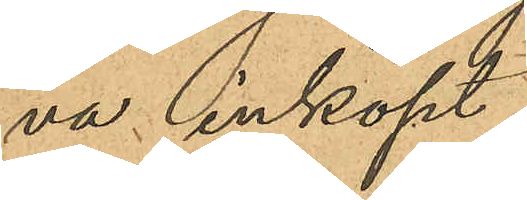va inköpt
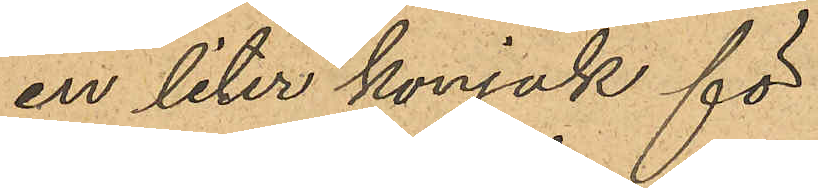en liter konjak för
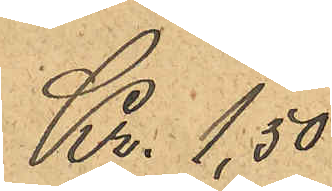Kr. 1,50
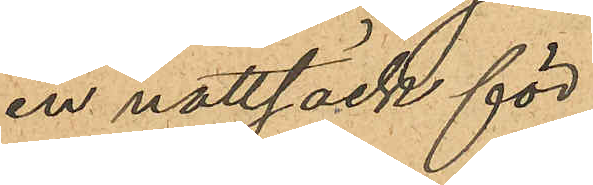en nattsäck för
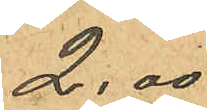2,00
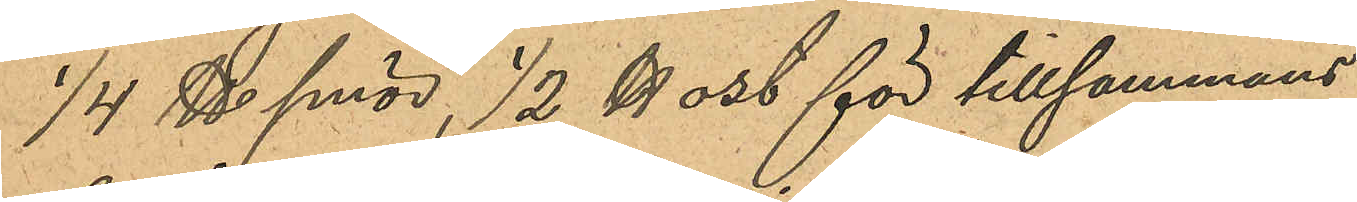1/4 ℔ smör, ½ ℔ ost för tillsammans
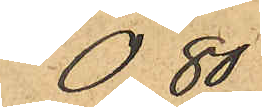0,80
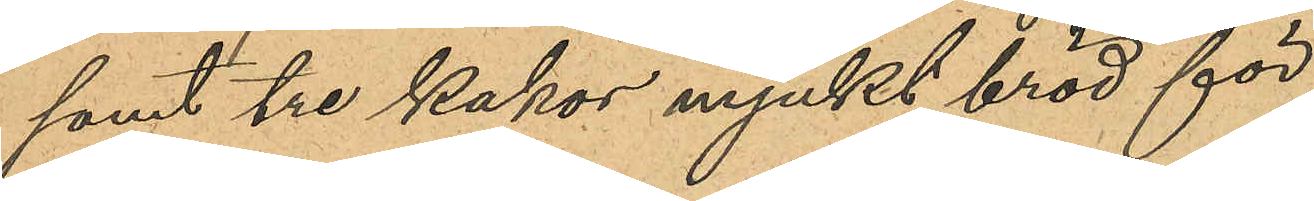samt tre kakor mjukt bröd för
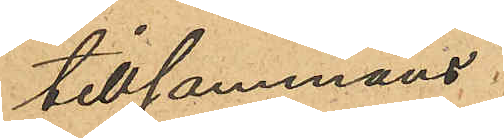tillsammans
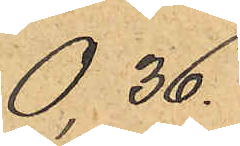0,36.
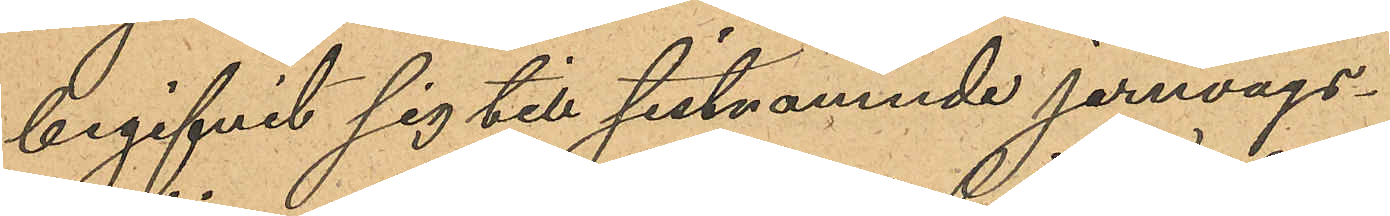begifvit sig till sistnämnde jernvägs¬
